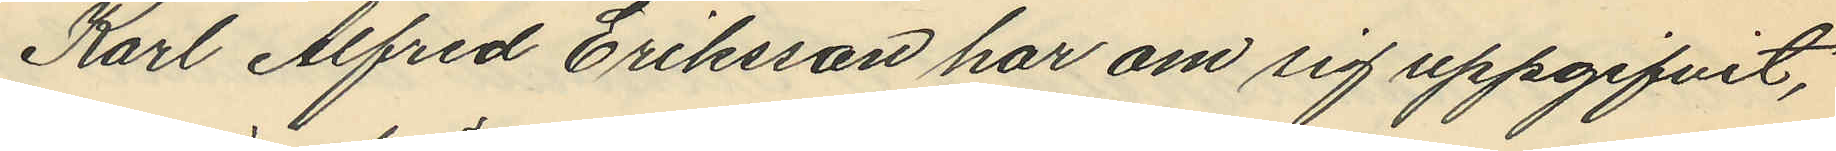Karl Alfred Eriksson har om sig uppgifvit,
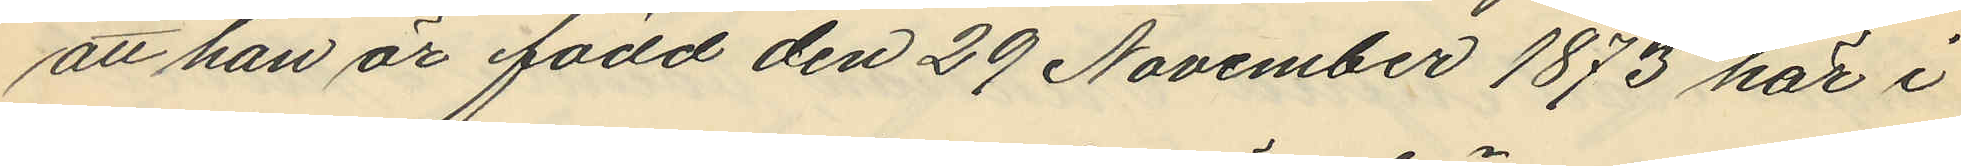att han är född den 29 November 1873 här i
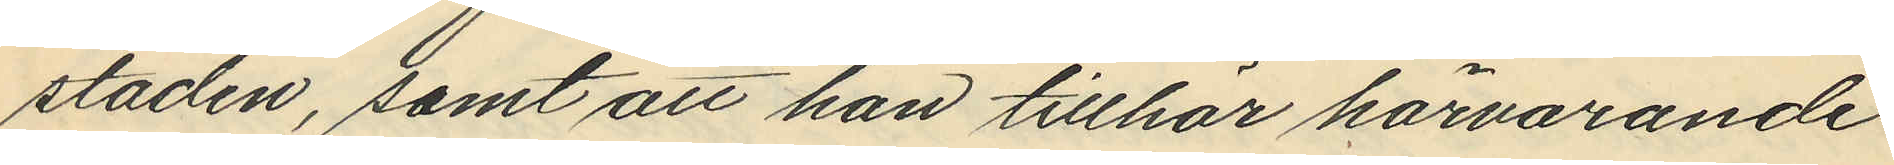staden, samt att han tillhör härvarande
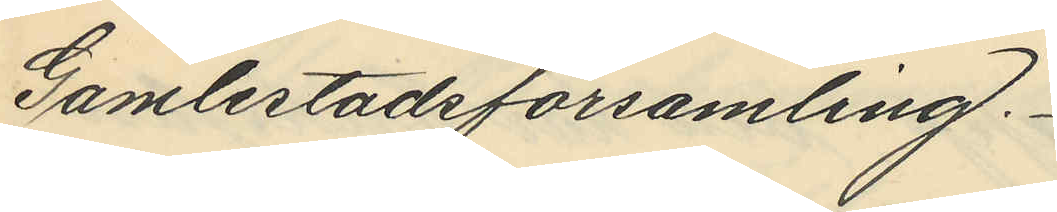Gamlestadsförsamling.
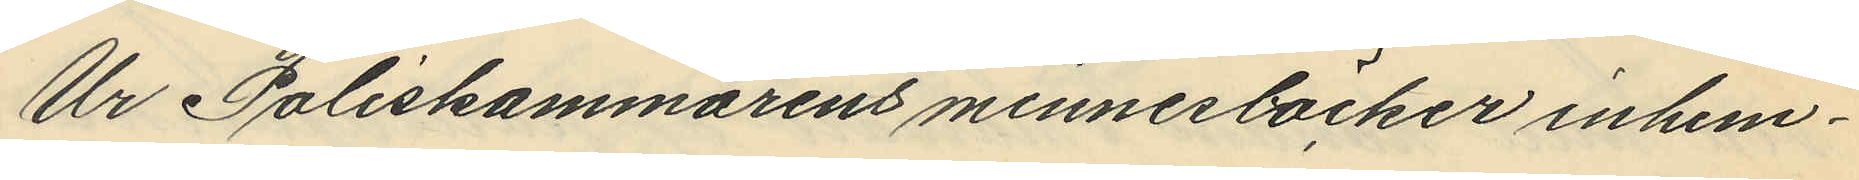Ur Poliskammarens minnesböcker inhem¬
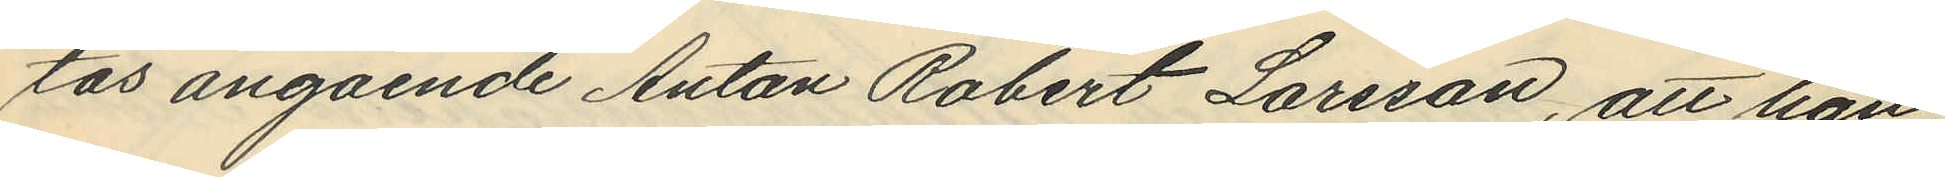tas angående Anton Robert Larsson, att han
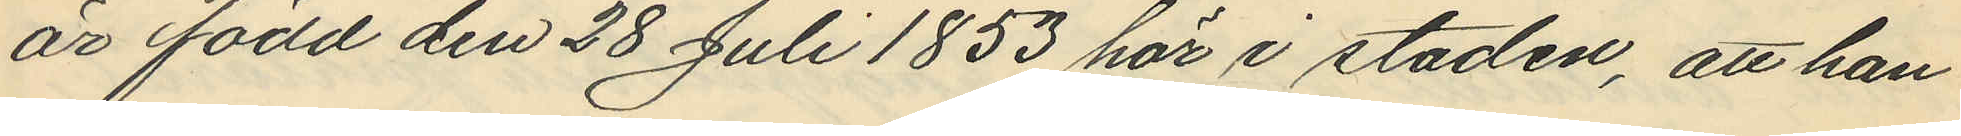är född den 28 Juli 1853 här i staden, att han
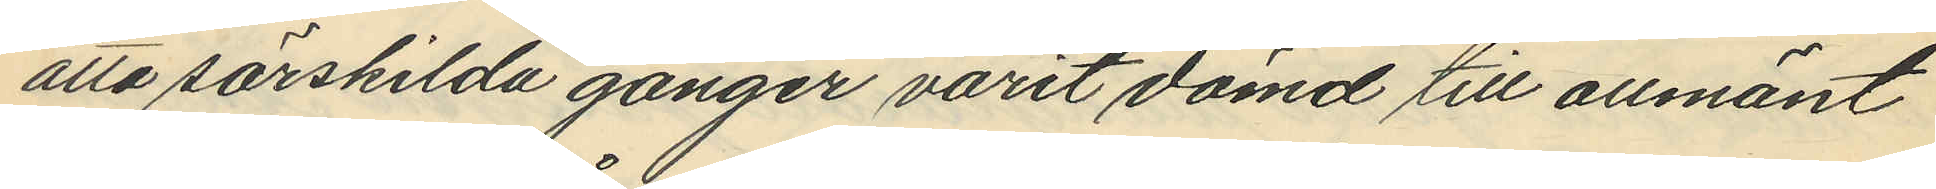åtta särskilda gånger varit dömd till allmänt
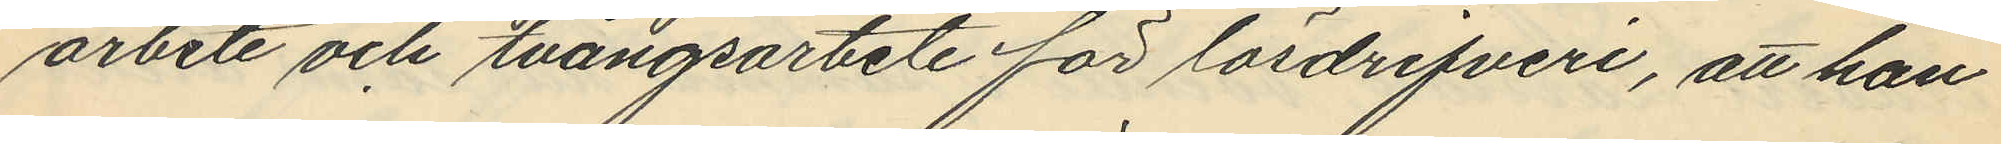arbete och tvångsarbete för lösdrifveri, att han
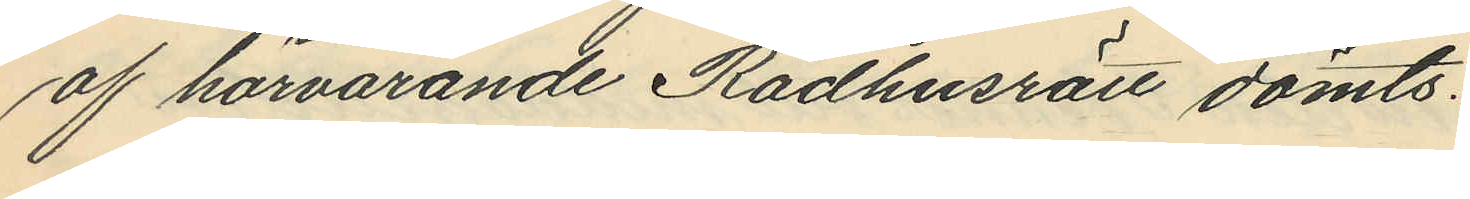af härvarande Rådhusrätt dömts:
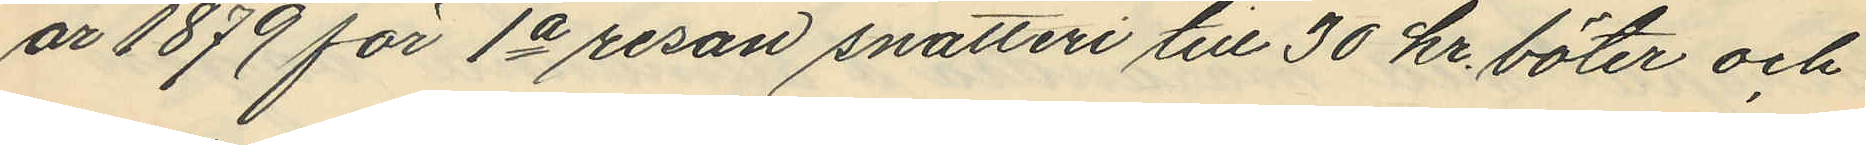år 1879 för 1a resan snatteri till 30 kr. böter och
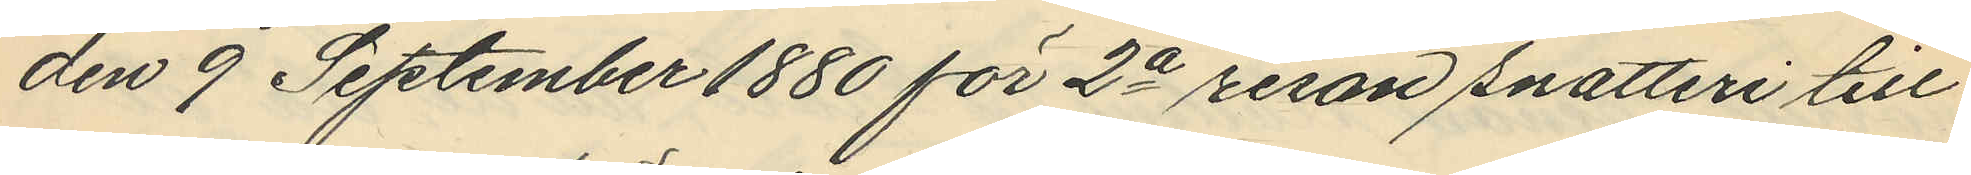den 9 September 1880 för 2a resan snatteri till
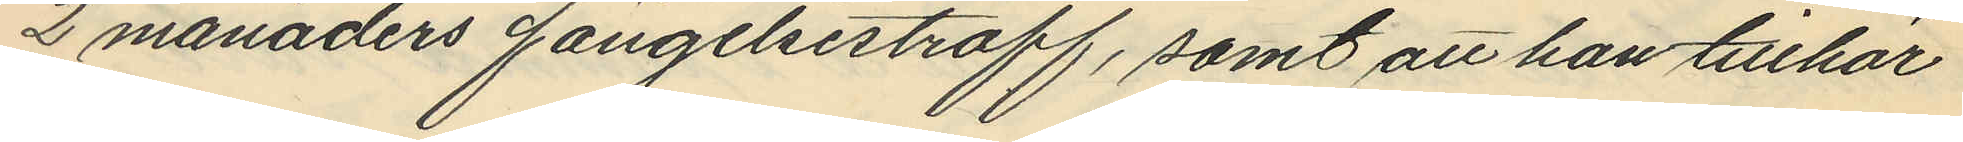2 månaders fängelsestraff, samt att han tillhör
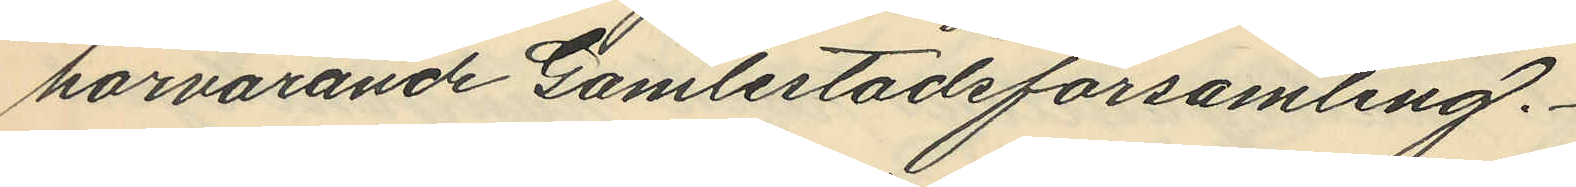härvarande Gamlestadsförsamling.
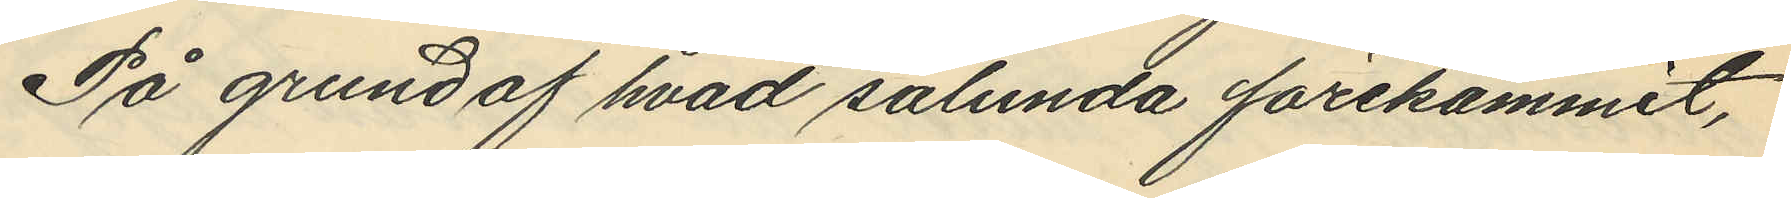På grund af hvad sålunda förekommit,
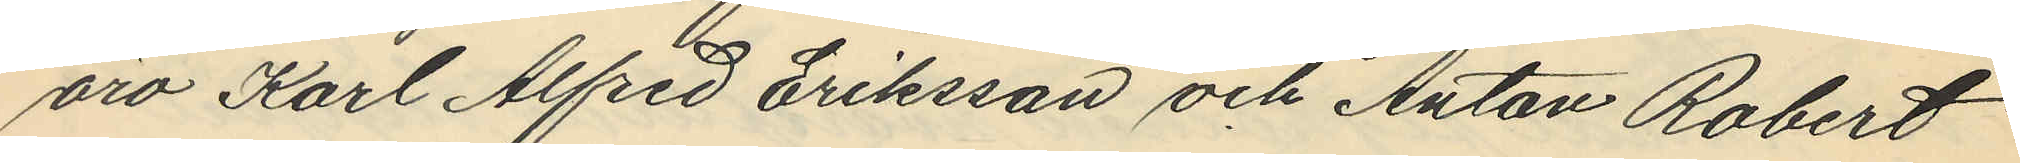äro Karl Alfred Eriksson och Anton Robert
